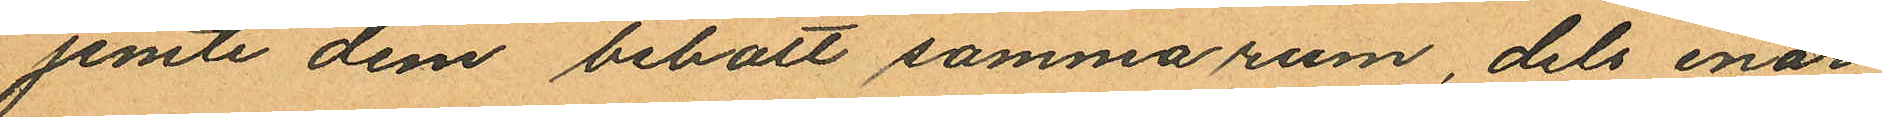jemte dem bebott samma rum, dels enär
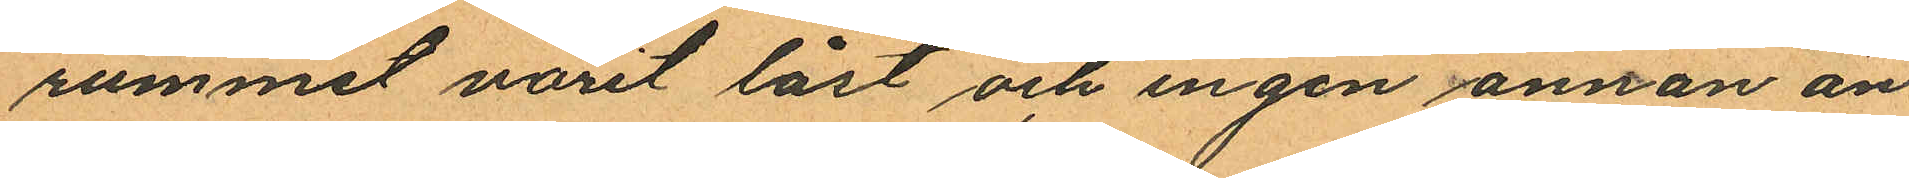rummet varit låst och ingen annan än
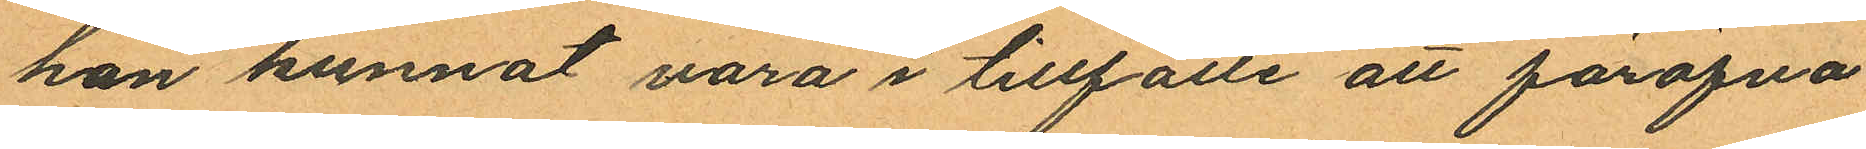han kunnat vara i tillfälle att föröfva
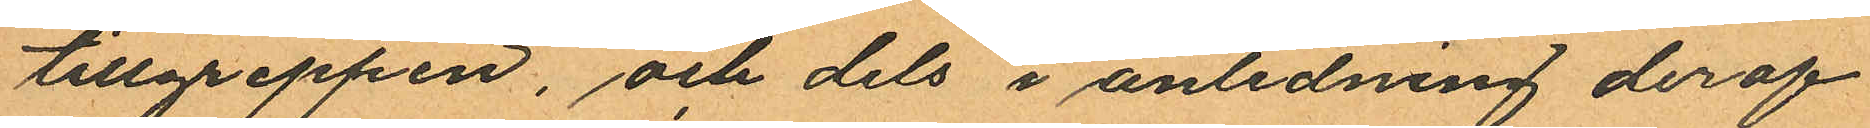tillgreppen, och dels i anledning deraf
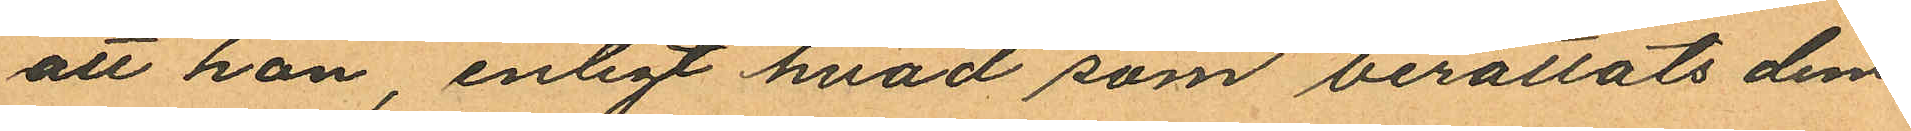att han, enligt hvad som berättats dem
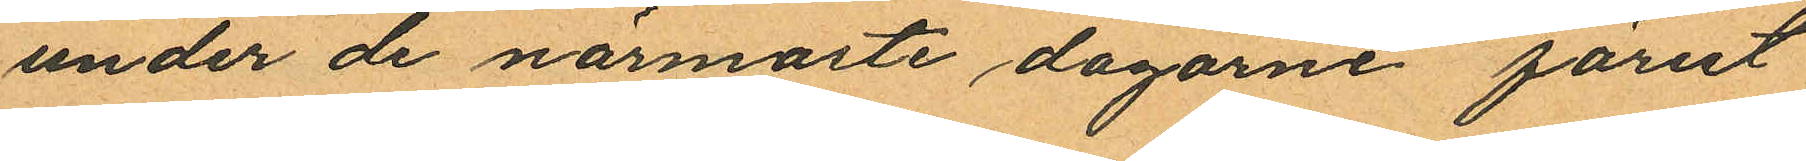under de närmåste dagarne förut
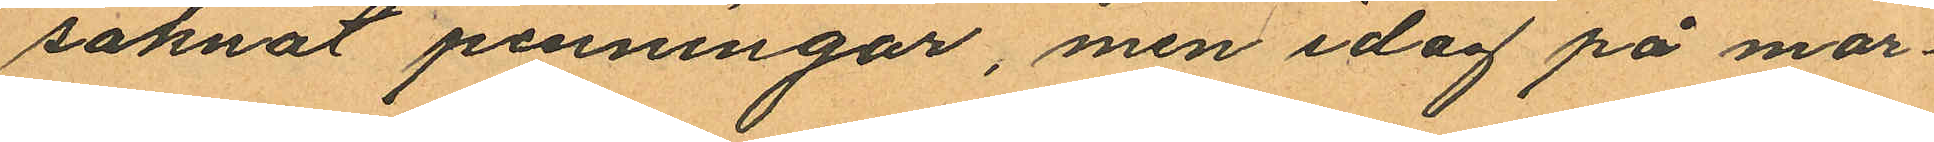saknat penningar, men idag på mor¬
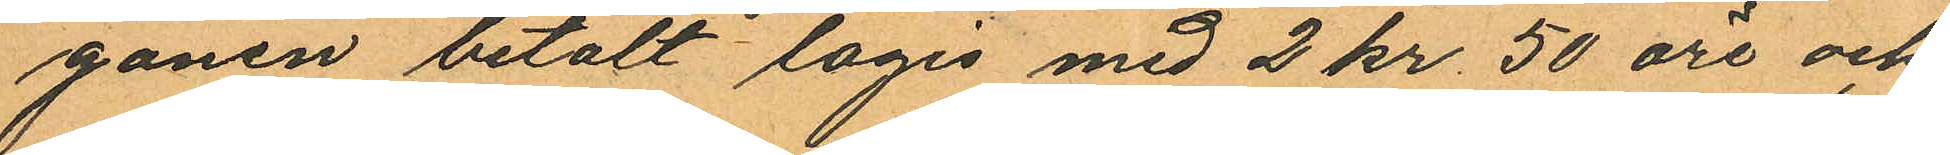gonen betalt logis med 2 kr. 50 öre och
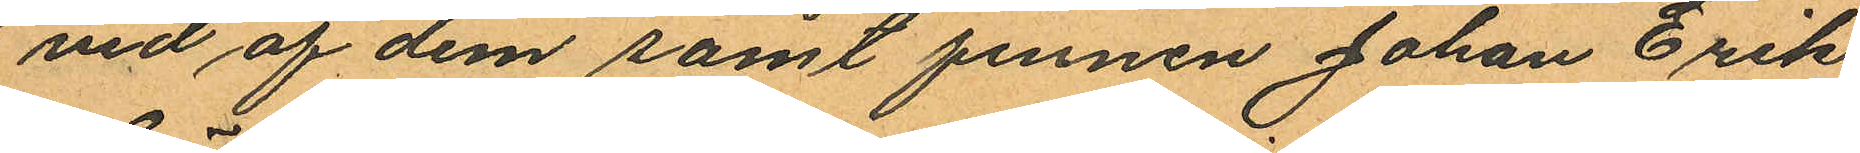vid af dem samt finnen Johan Erik
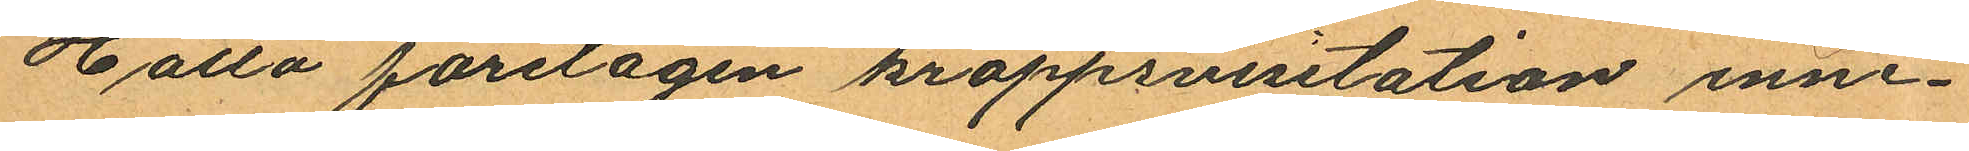Hälla företagen kroppsvisitation inne¬
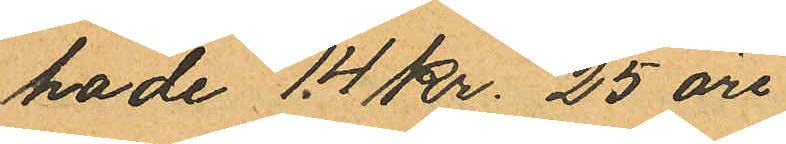hade 14 Kr. 25 öre.
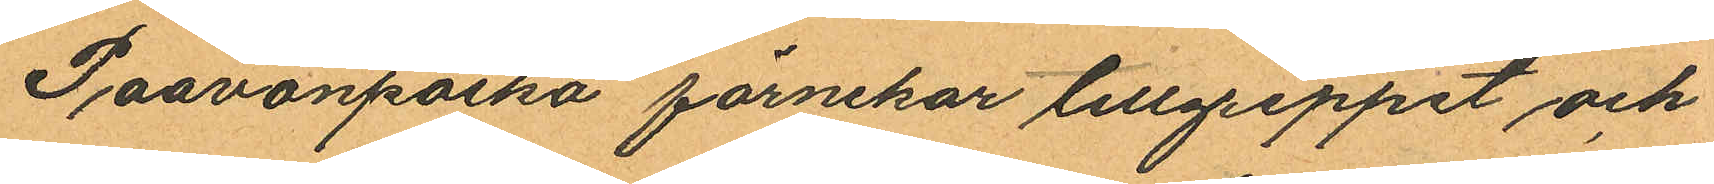Paavonpoika förnekar tillgreppet och
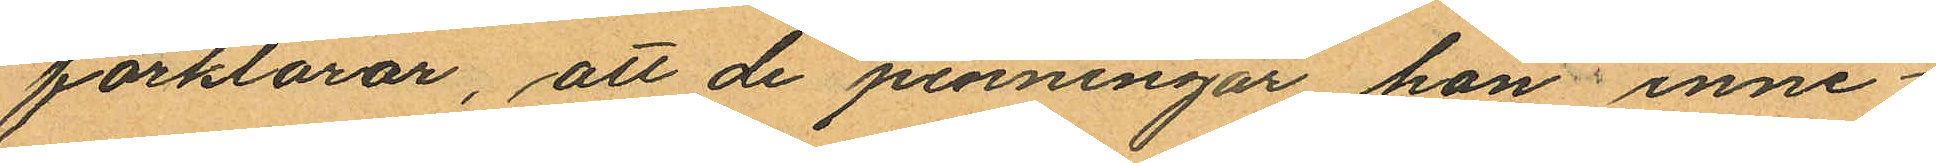förklarar, att de penningar han inne
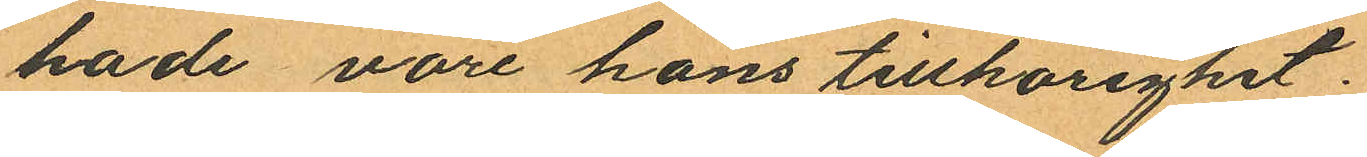hade vore hans tillhörighet.
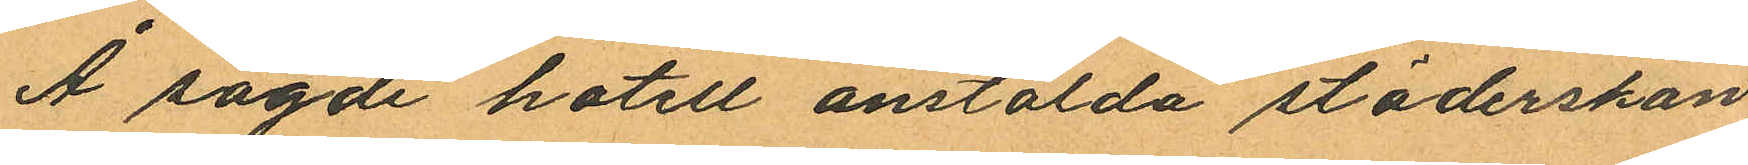Å sagde hotell anstälda städerskan
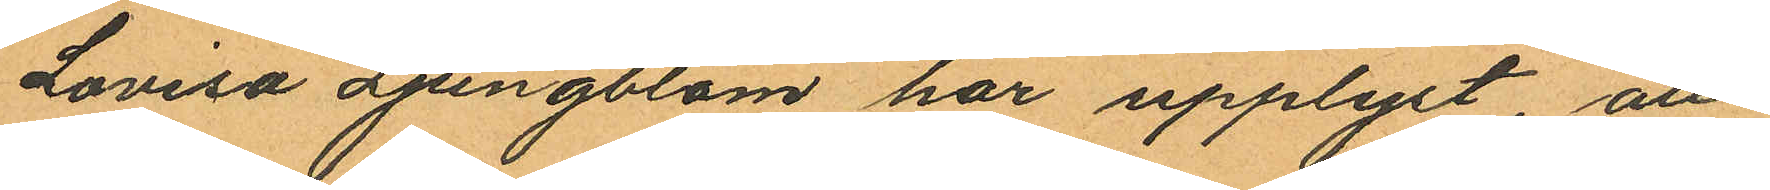Lovisa Ljungblom har upplyst att
